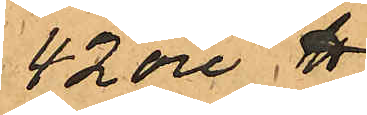42 öre ℔.
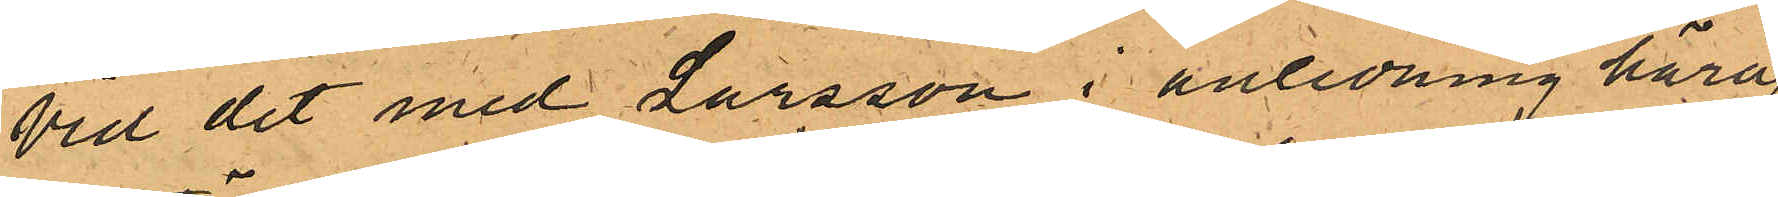Vid det med Larsson i anledning häraf
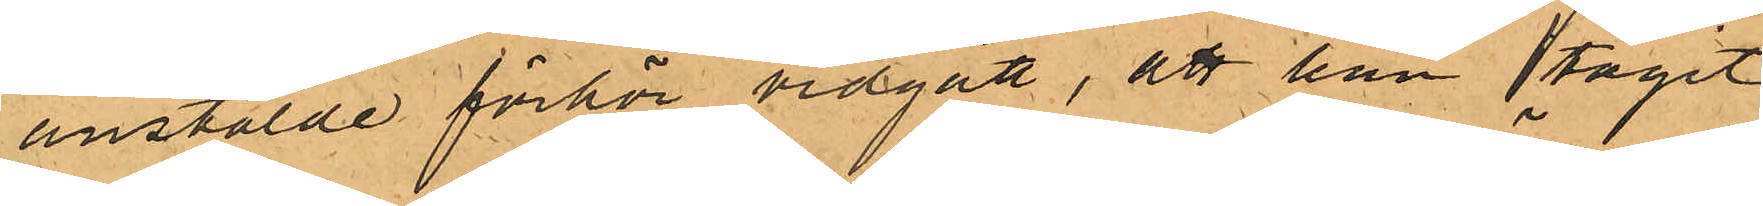anstälde förhör vidgått, att han tagit
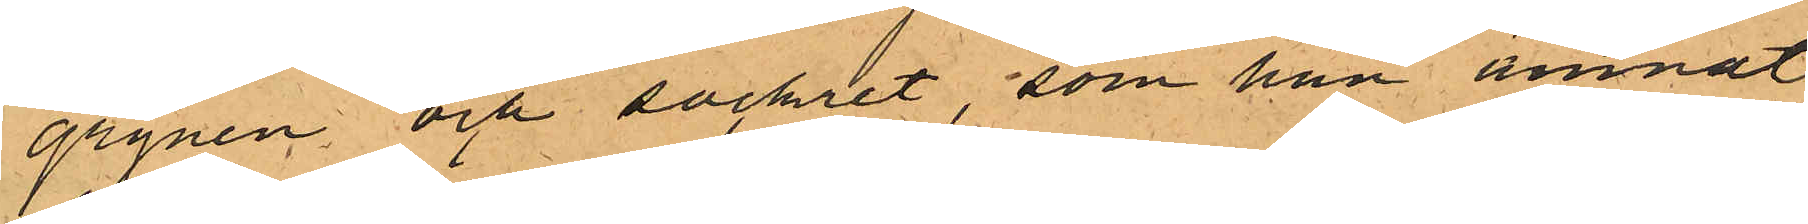grynen och sockret, som han ämnat
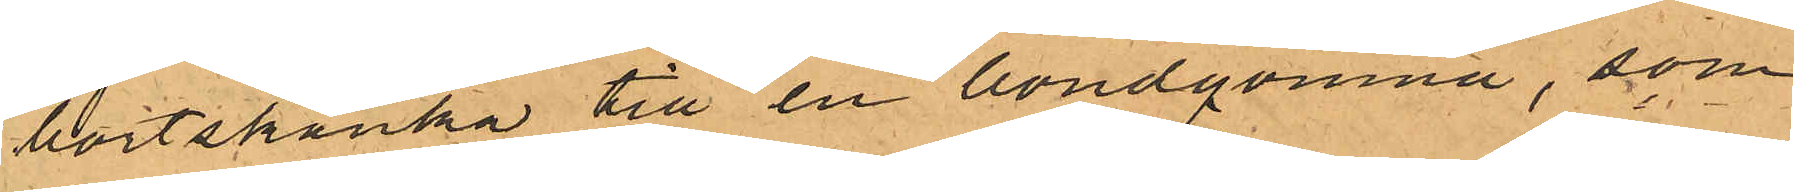bortskänka till en bondqvinna, som
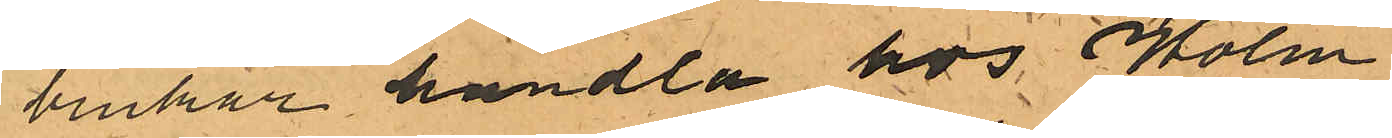brukar handla hos Holm.
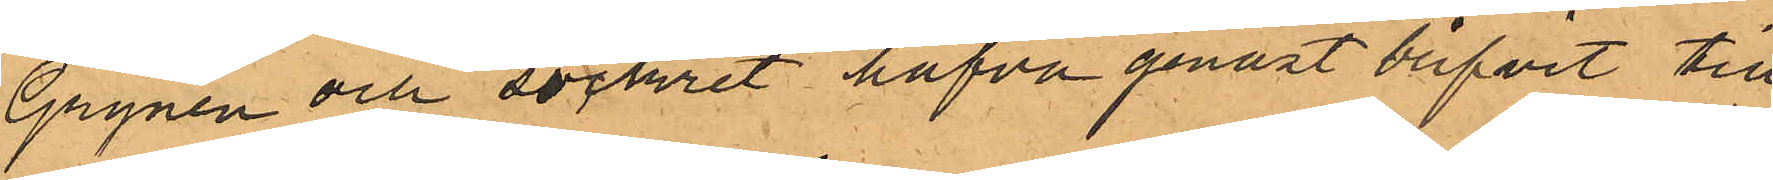Grynen och sockret hafva genast blifvit till
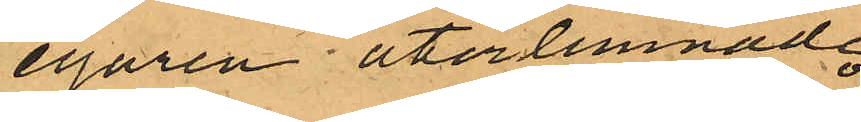egaren återlemnade.
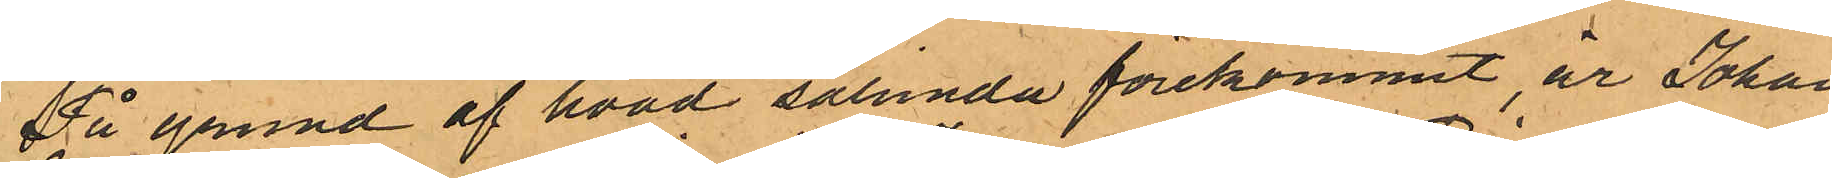På grund af hvad sålunda förekommit, är Johan
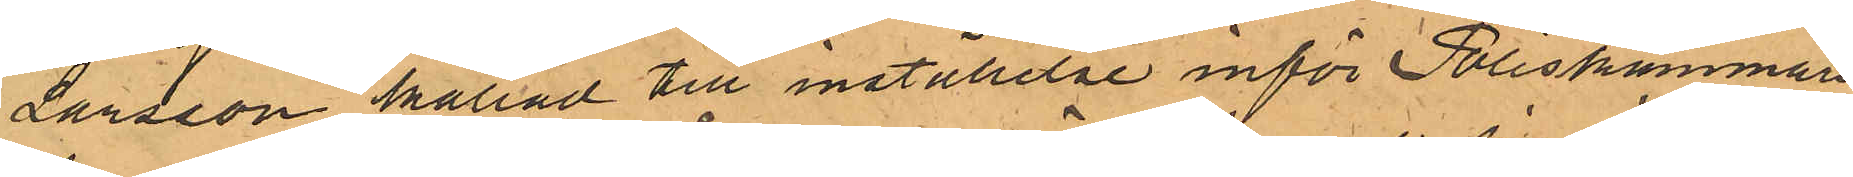Larsson kallad till inställelse inför Poliskammaren
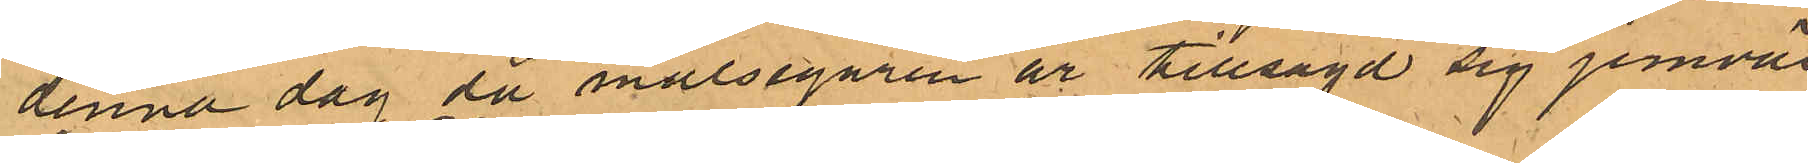denna dag då målsegaren är tillsagd sig jemväl
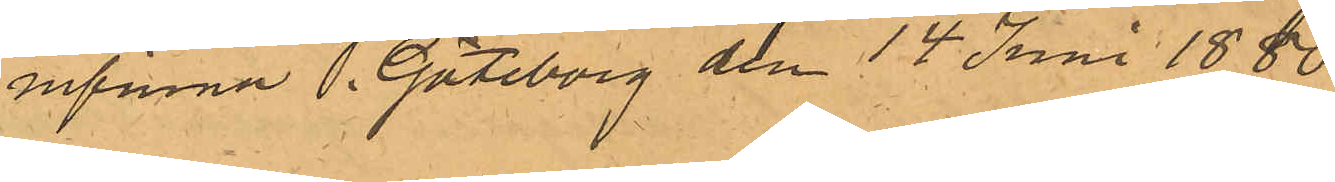infinna. Göteborg den 14 Juni 1880.
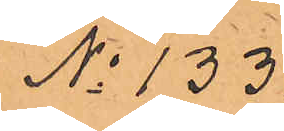No 133.
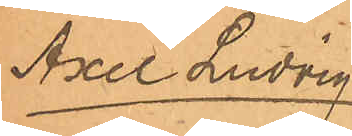Axel Ludvig
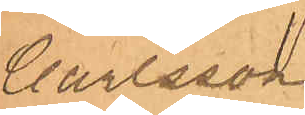Carlsson
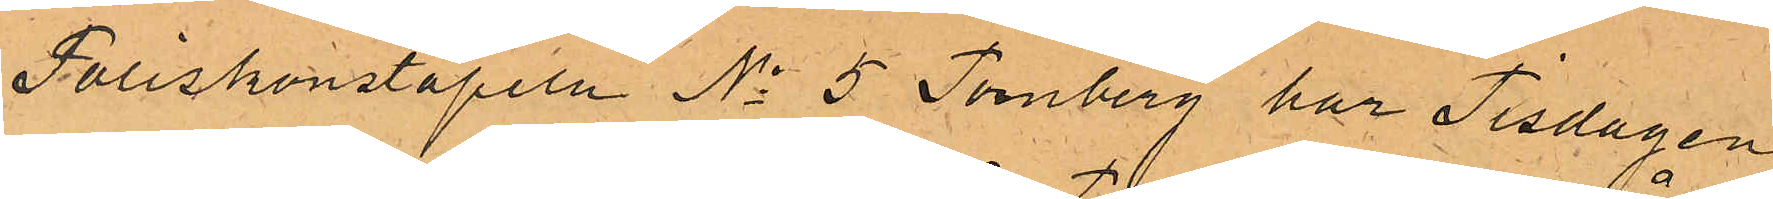Poliskonstapeln No 5 Tornberg har Tisdagen
